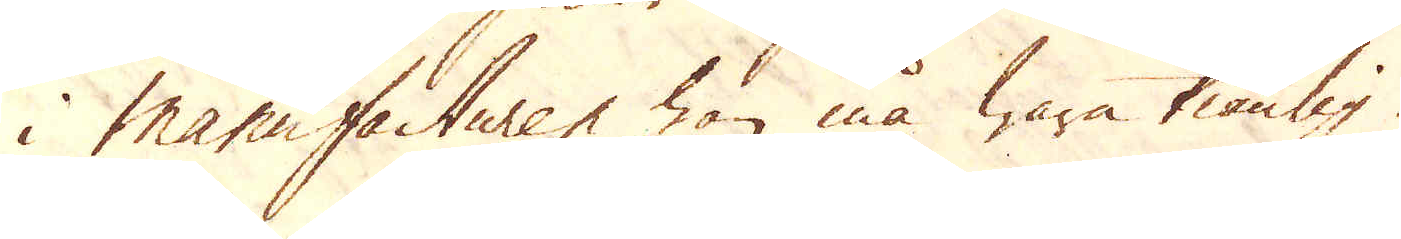i manufacturen han må wara tiänlig.
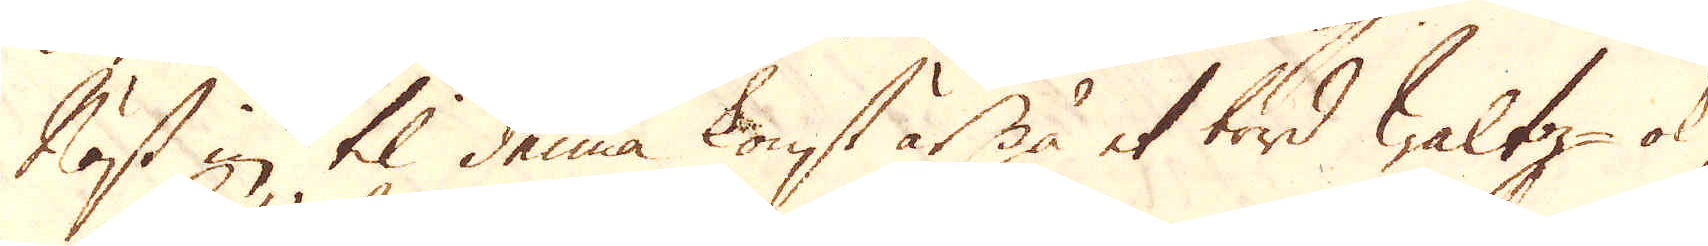Näst in til denna konst är på et bord Waltz- ok
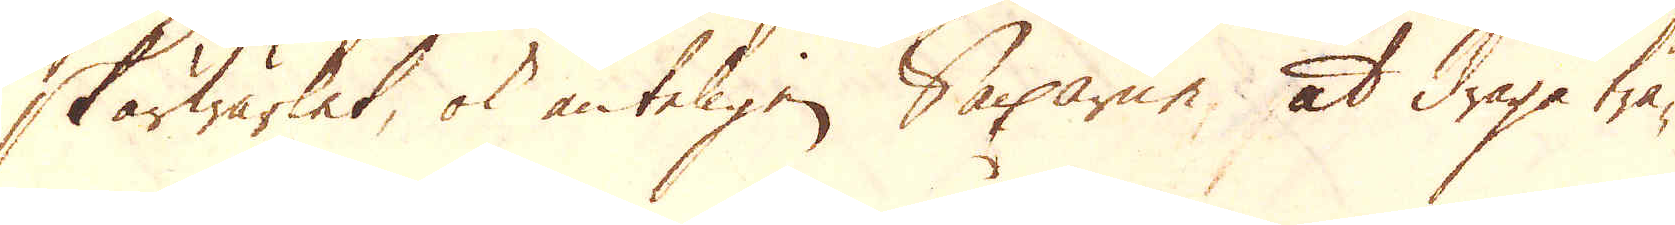Skärwärket, ok änteligen Saxarne, at draga trå-
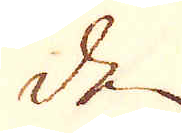den
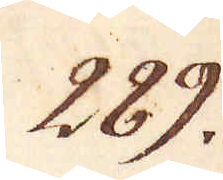289.
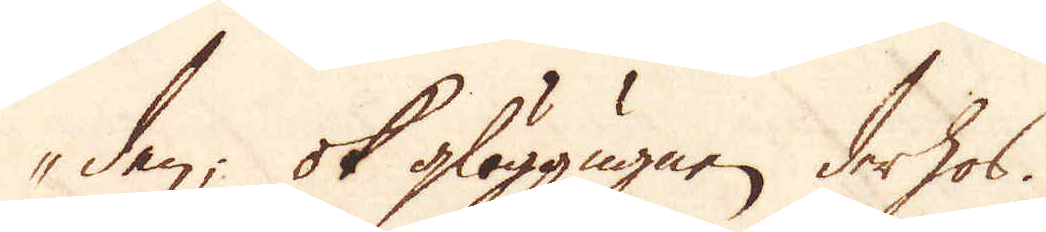den; ok glöggugnen derhos.
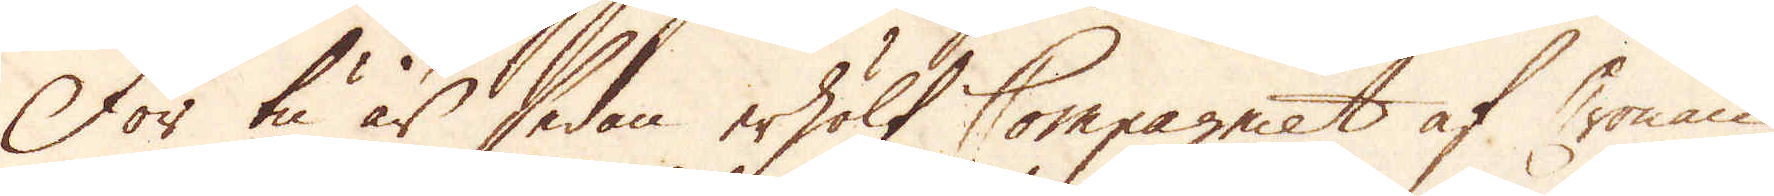För tu år sedan erhölt Compagniet af Cronan
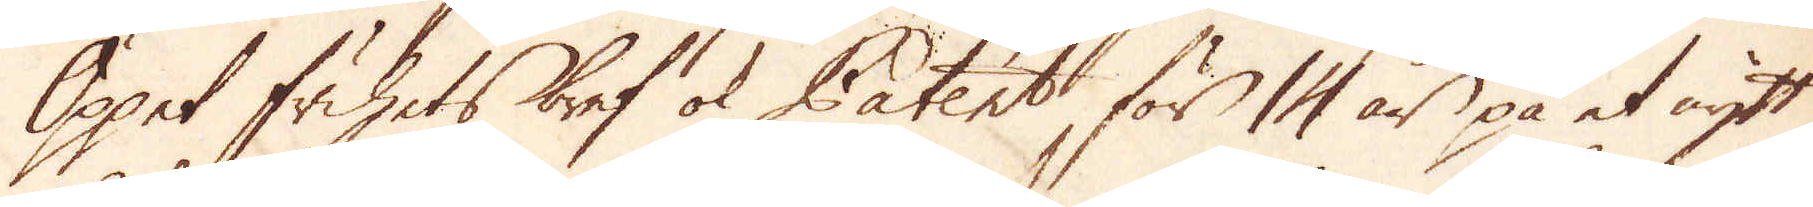Öppet frihets bref ok Patent för 14 år på et nytt
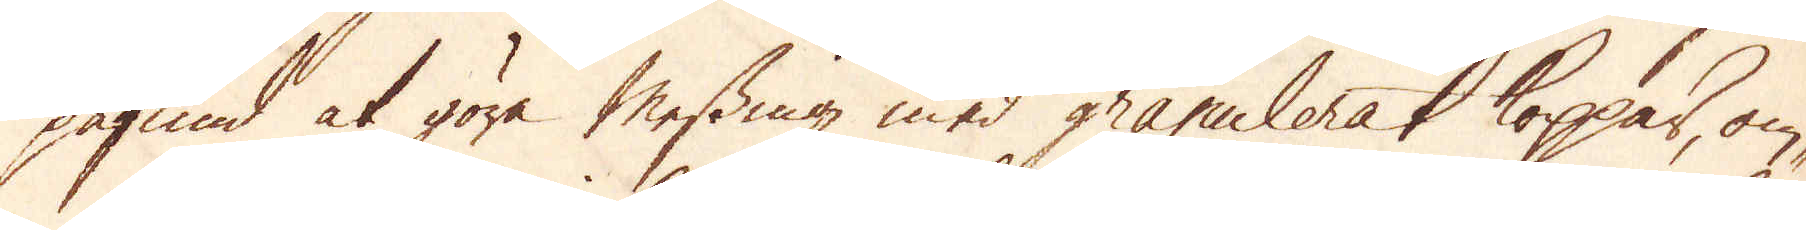påfund at göra Messing med granulerat koppar, om-
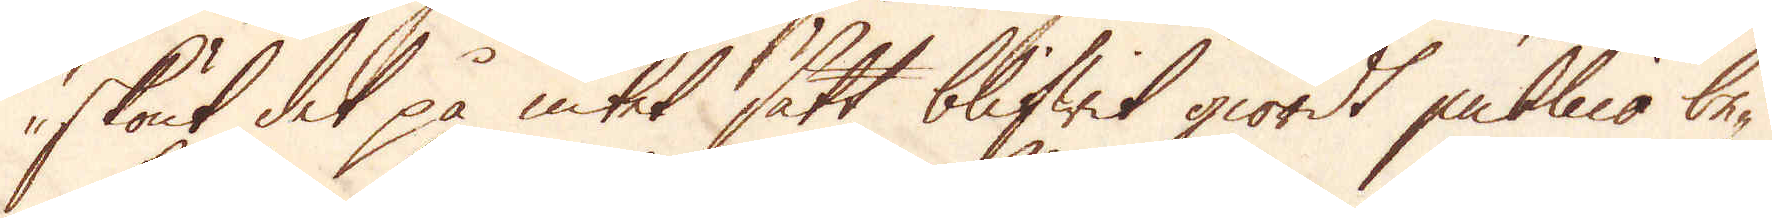skönt det på intet sätt blifwit giordt publico be-
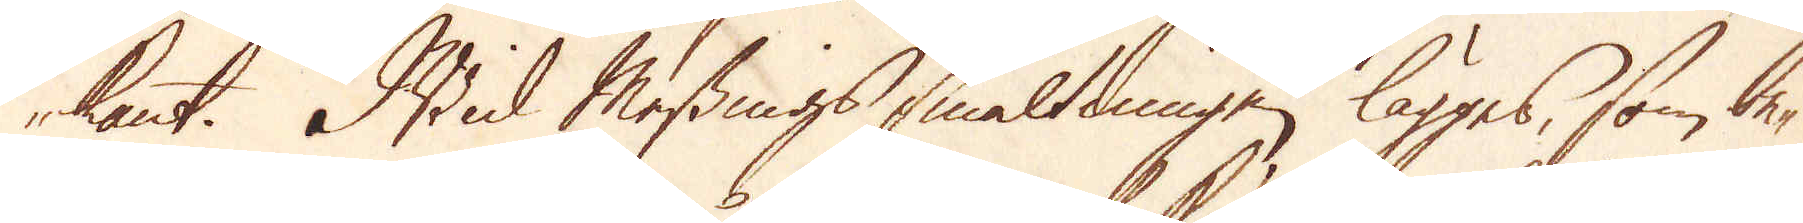kant. Wid Messings smältningen lägges, som be-
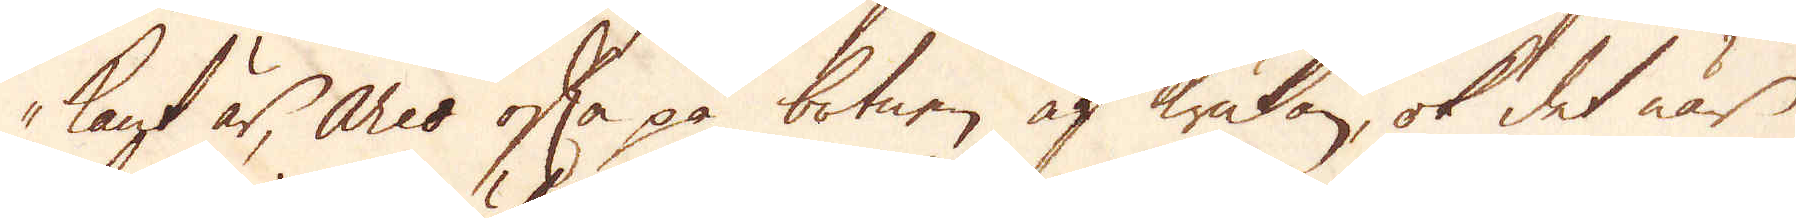kant är, arco ofta på botnen af krukan, ok det när
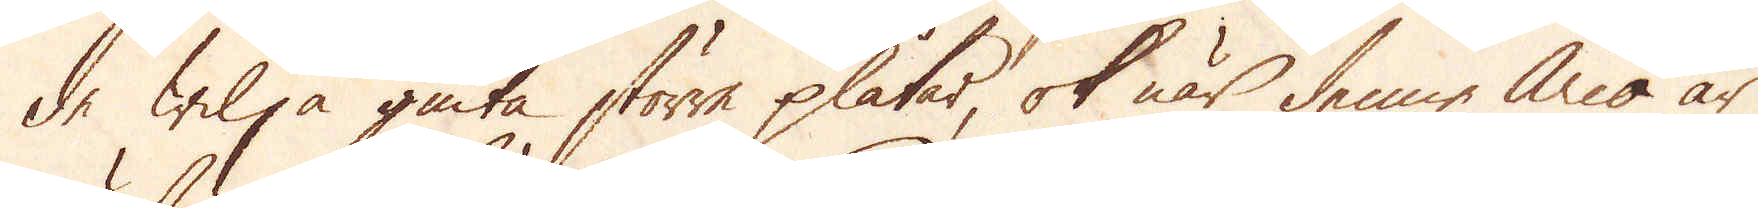de wilja giuta större plåtar, ok när denne Arco är
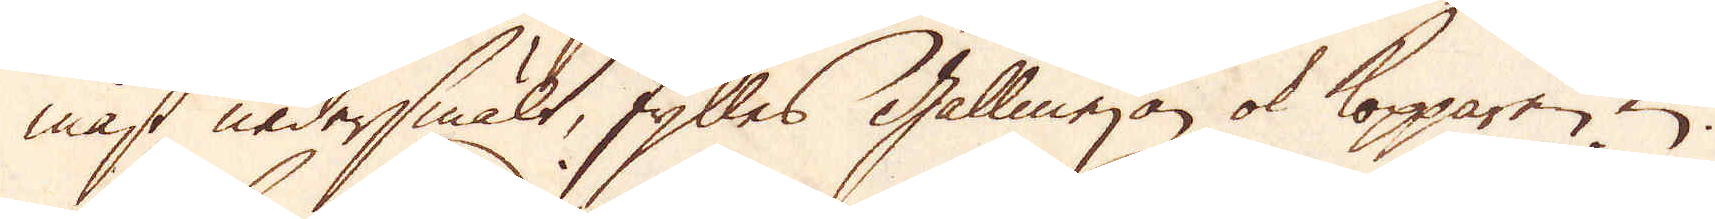mäst nedersmält, fylles Gallmejan ok kopparen in.
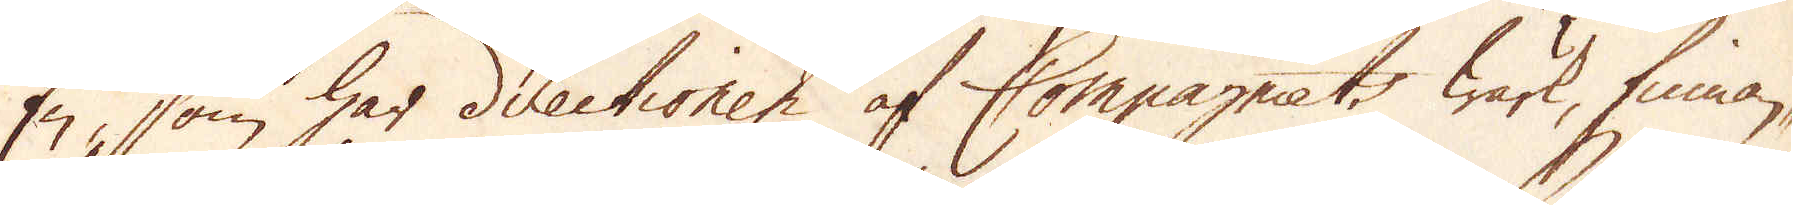En, som har directionen af Compagniets wärk, finnan-
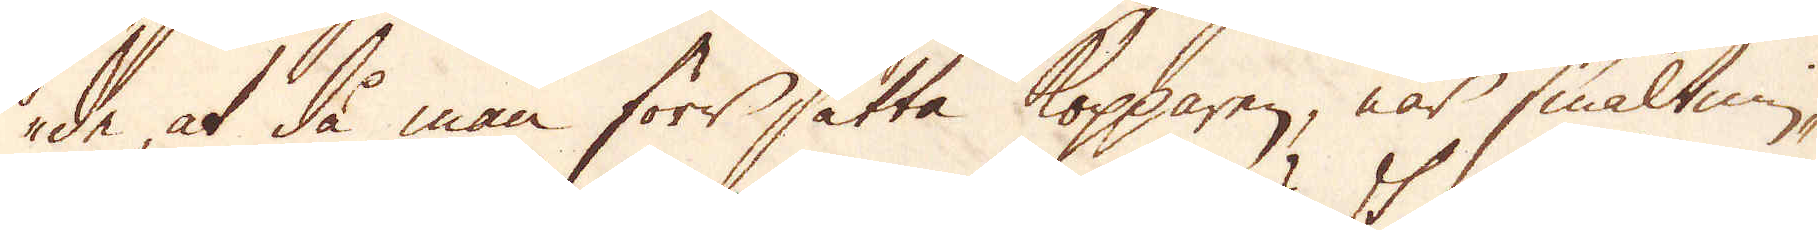de, at då man förr sätta Kopparen, när smältnin-
